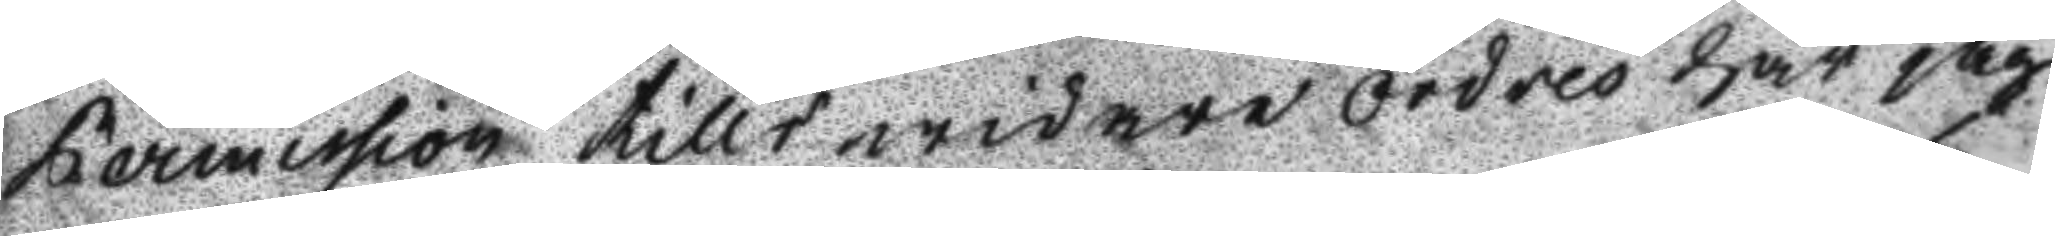Permission tills widare Ordres har jag
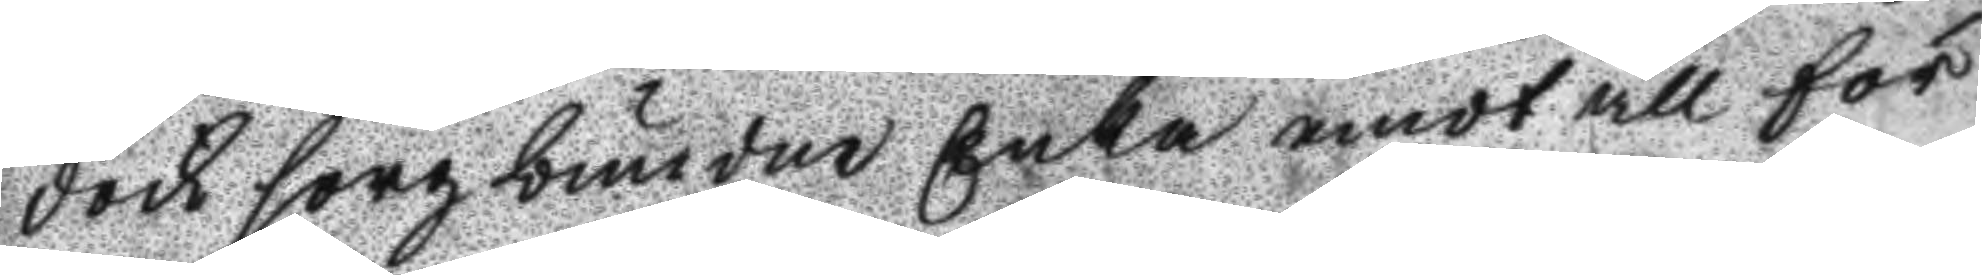dock sengbunden Enka emot all för
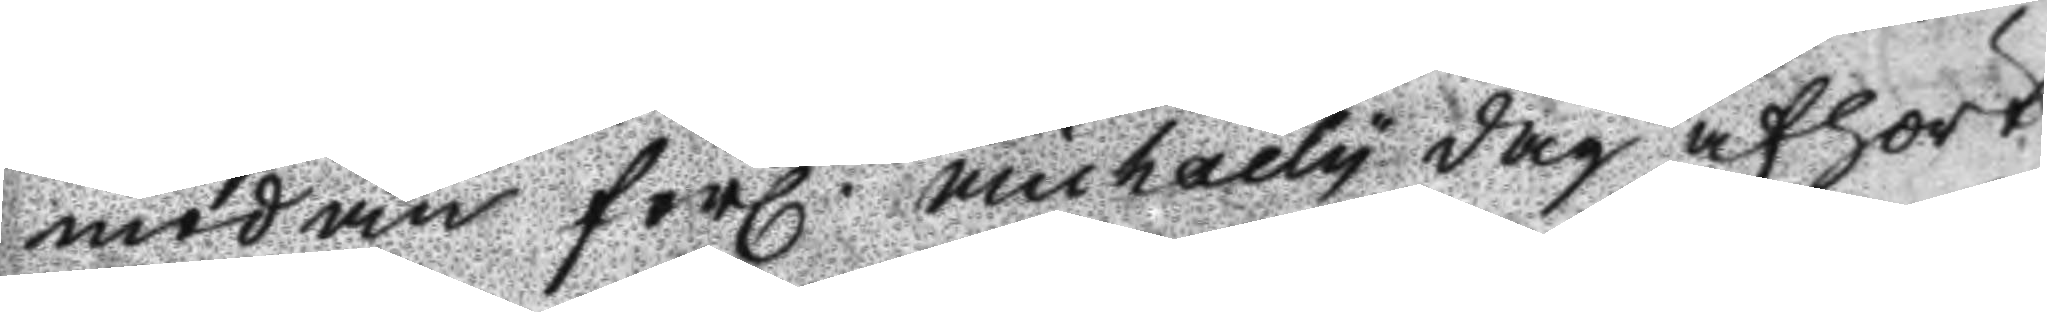modan förl. Michaely dag afhört
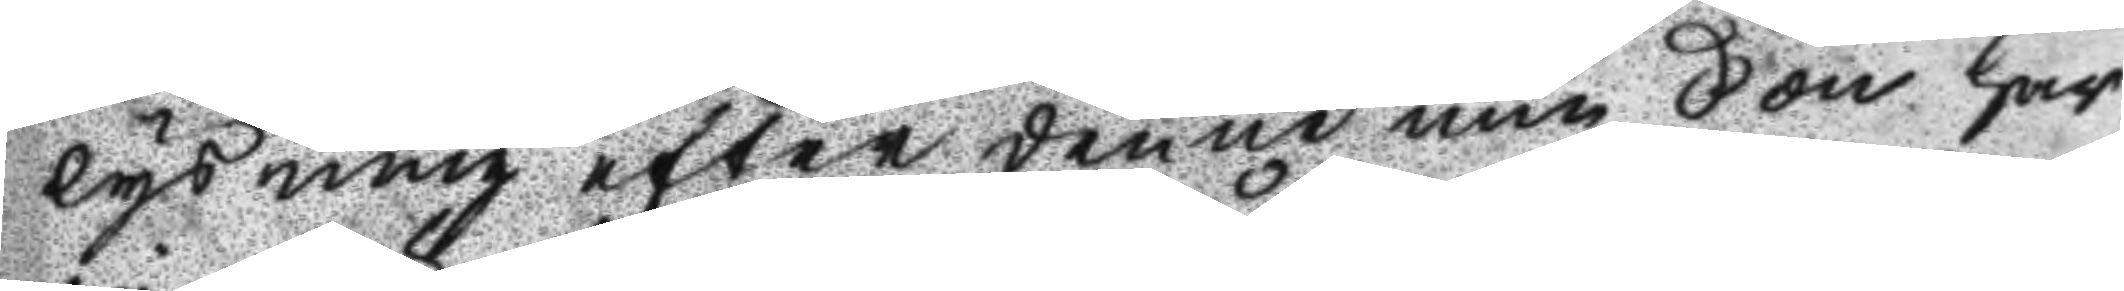lysning efter denne min Son har
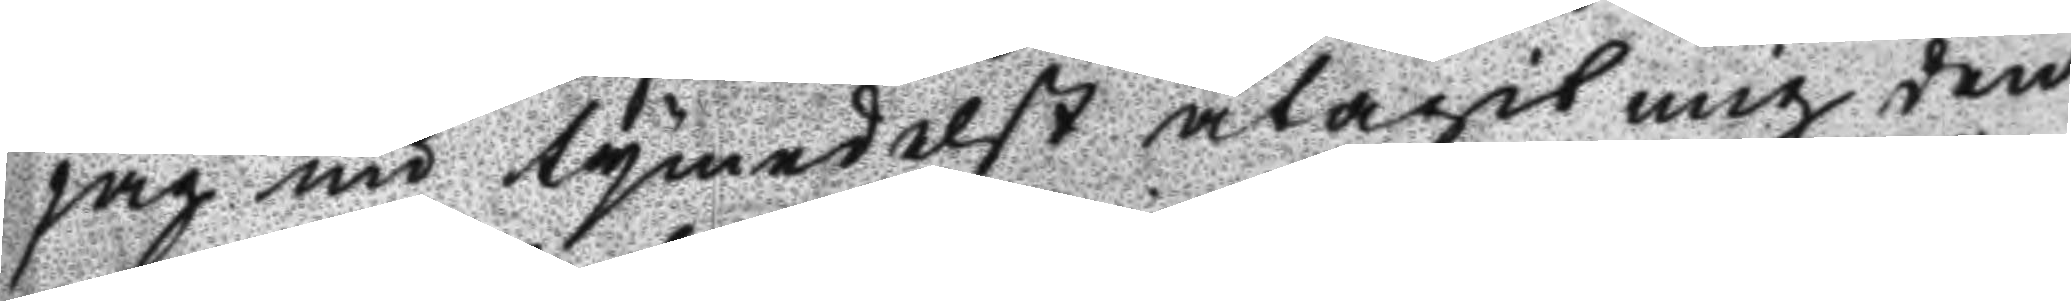jag nu tymedelst åtagit mig den
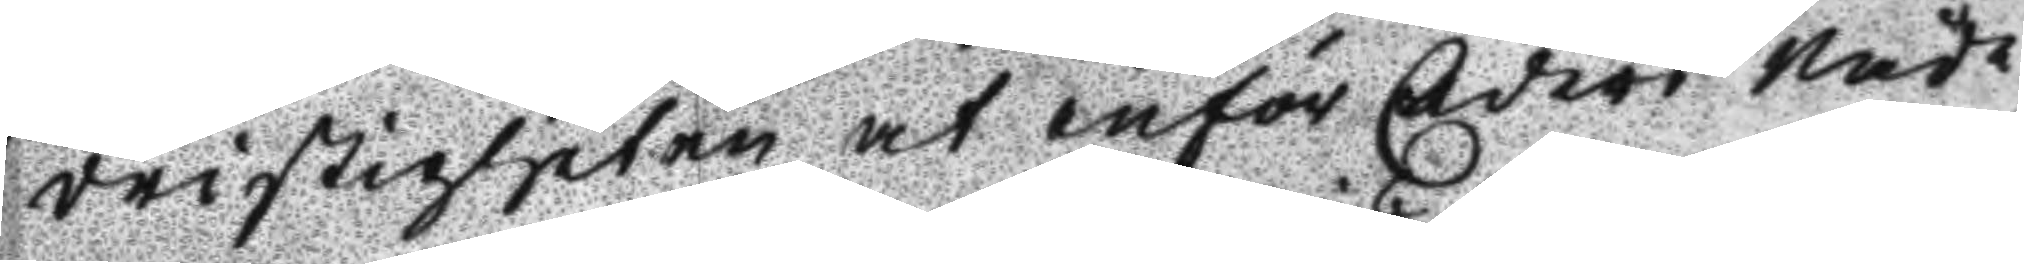dristigheten at inför Eders Nåde
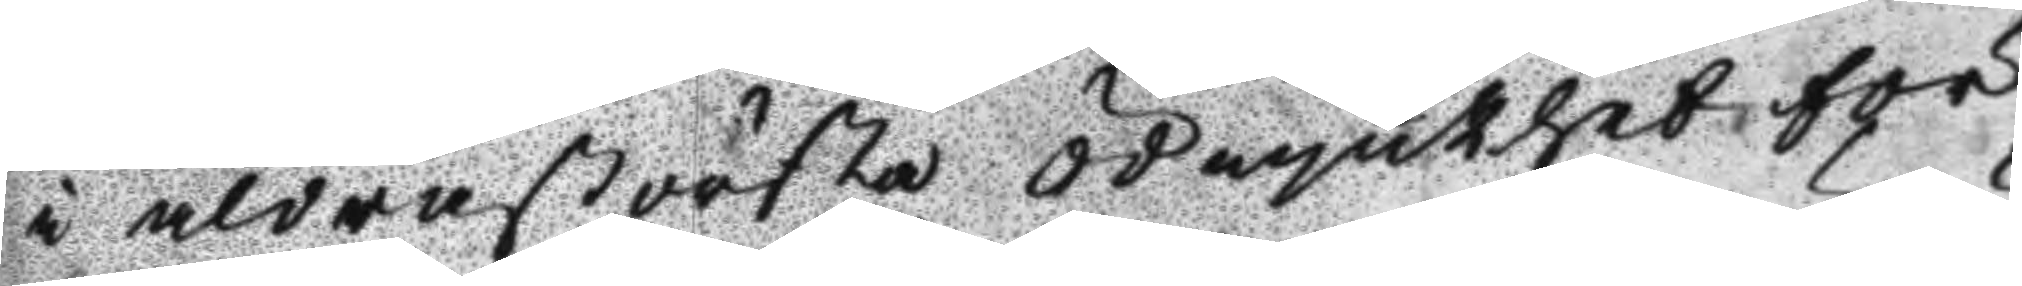i aldrastörsta ödmjukhet för
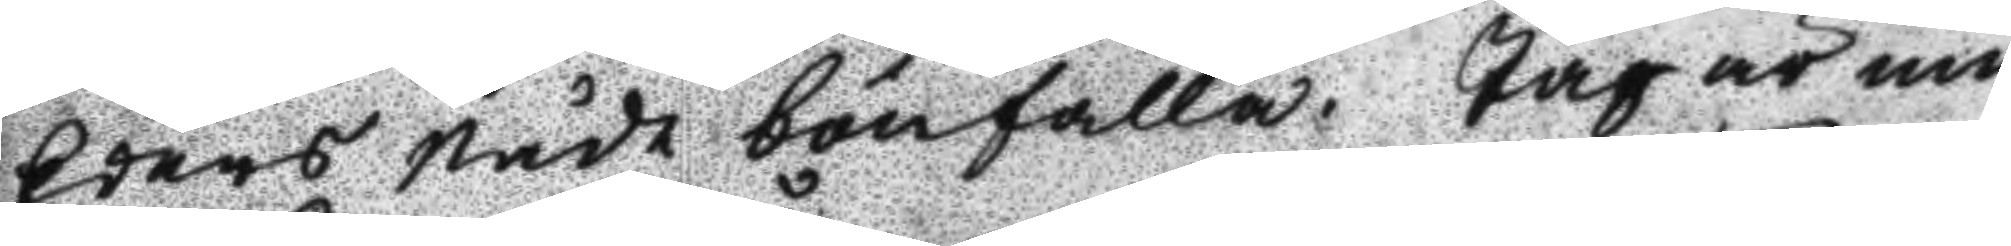Eders Nåde bönfalla. Jag är nu
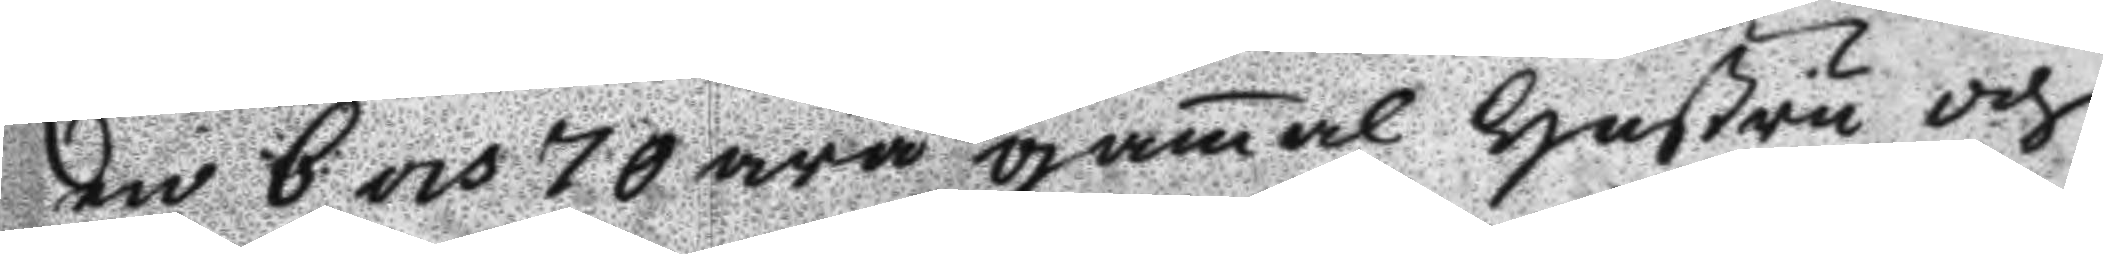en 6 och 70 åra gamal Hustru och
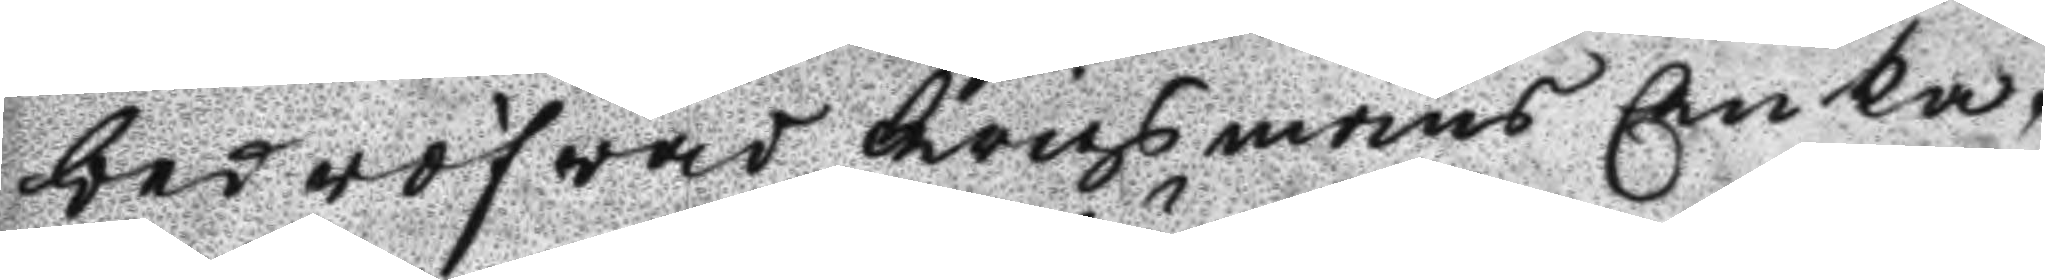bedröfwad Krigsmans Enka,
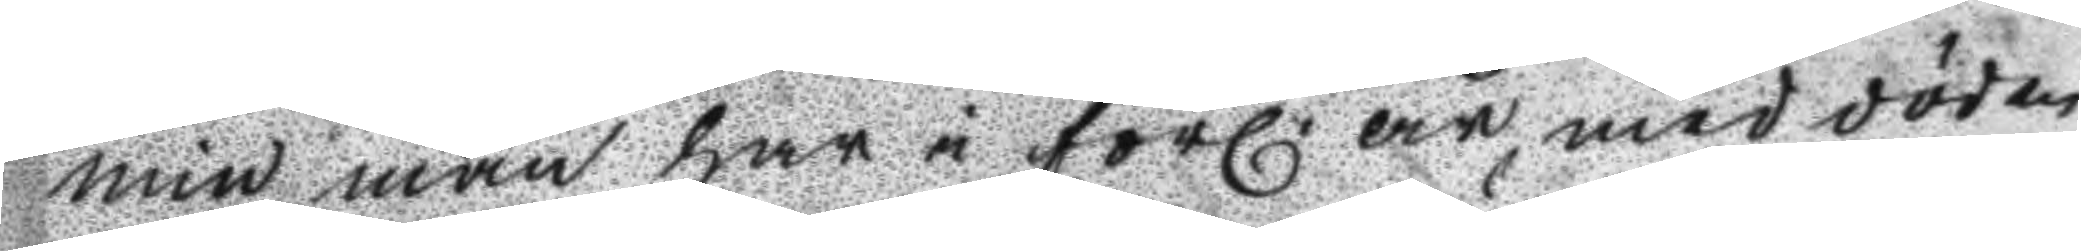min man har i förl. år med döden
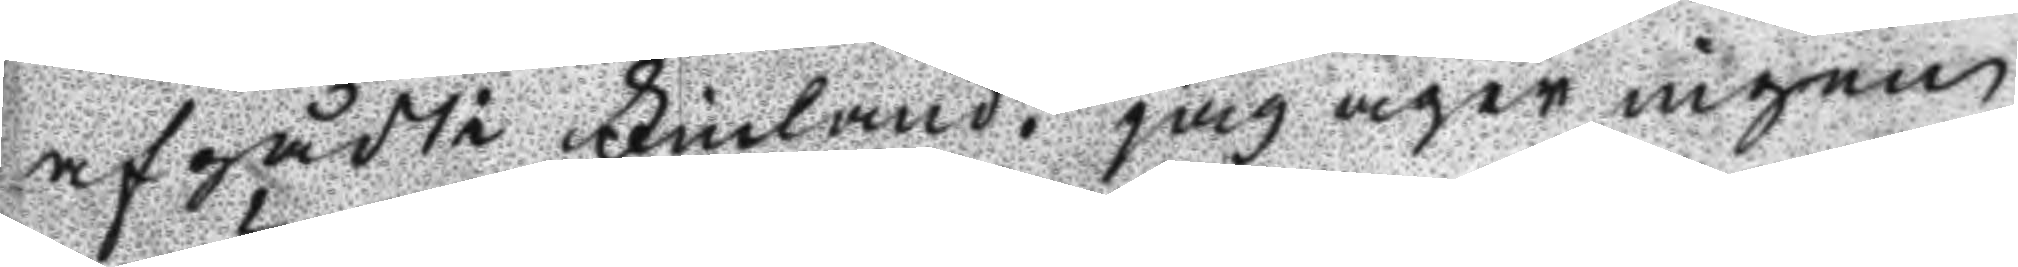afgådt i Finland. jag äger ingen
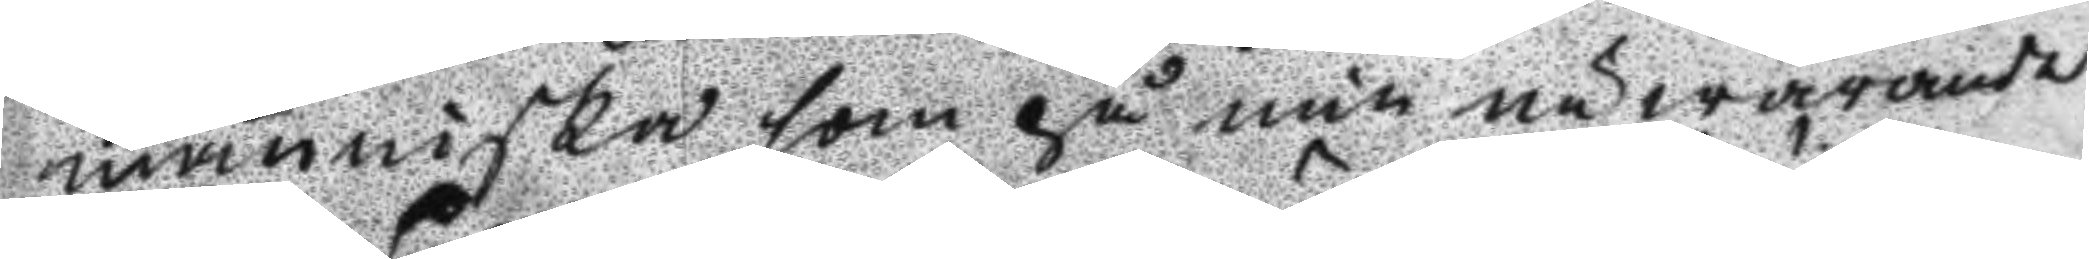människa som på min närwarande
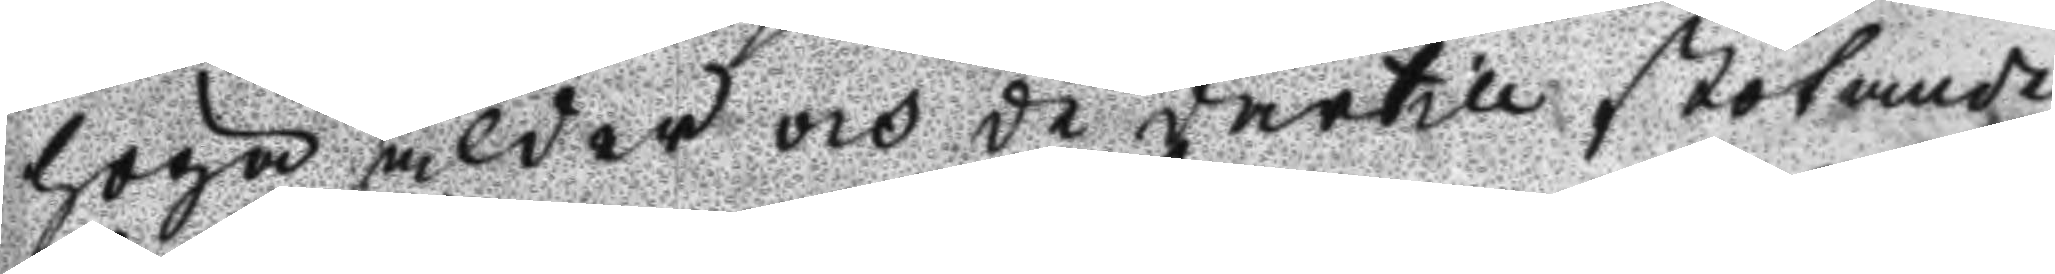höga ålder och de därtill stötande
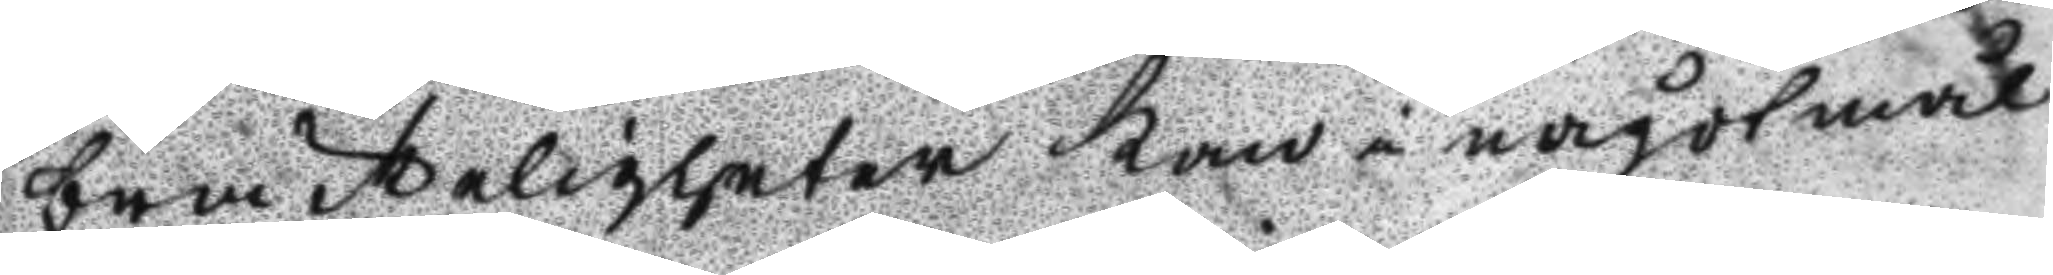bräckligheter kan i något mål
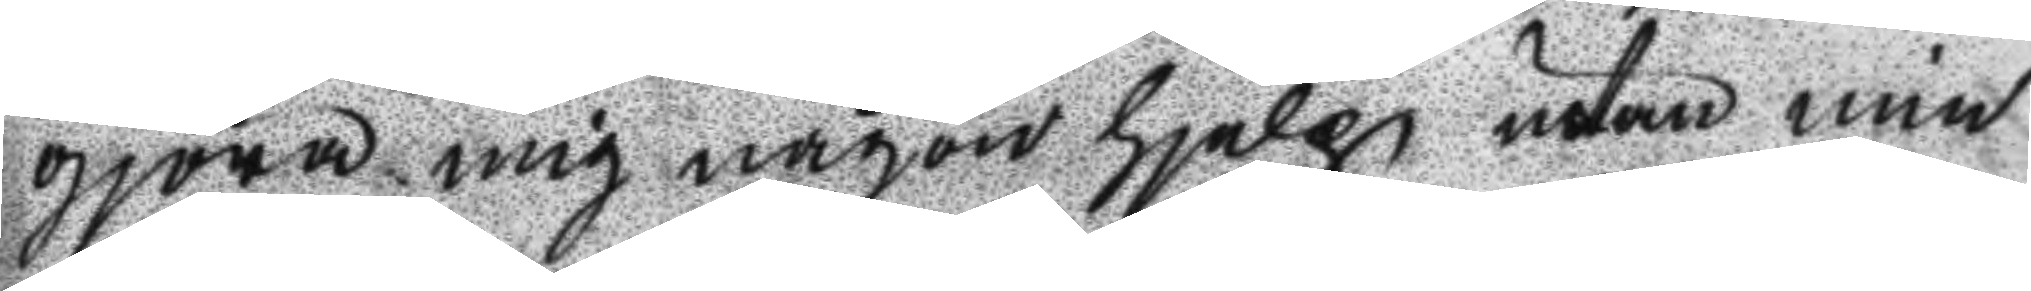gjöra mig någon hjelp utan min
